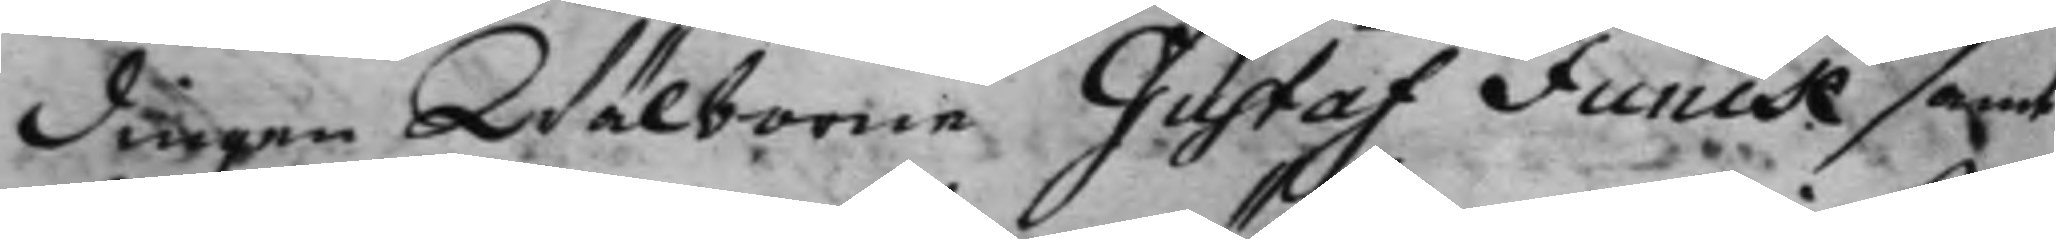dingen Wälborne Gustaf Funck samt
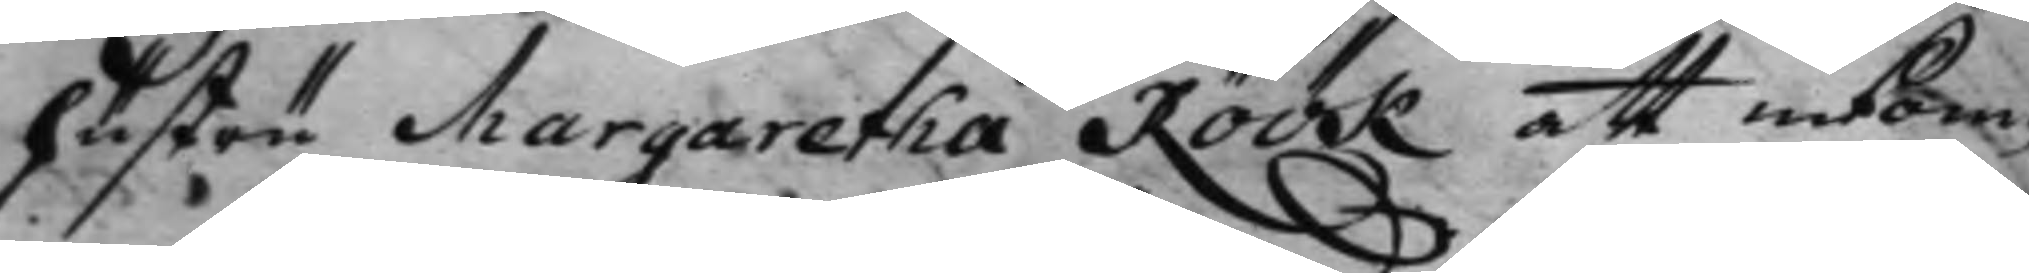hustru Margaretha Roök att inkom¬
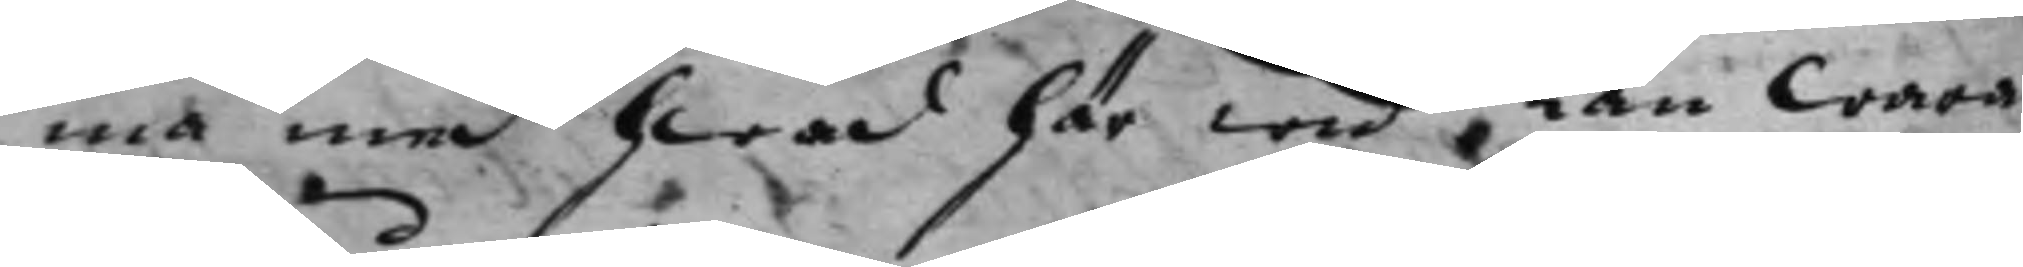ma med hwad här wid kan wara
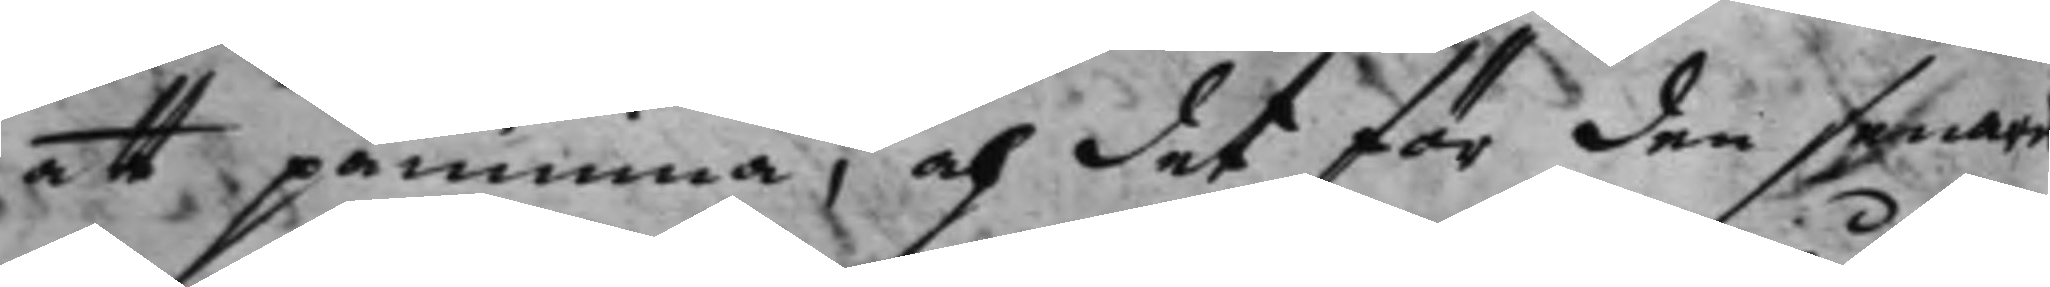att påminna, och det för den senare
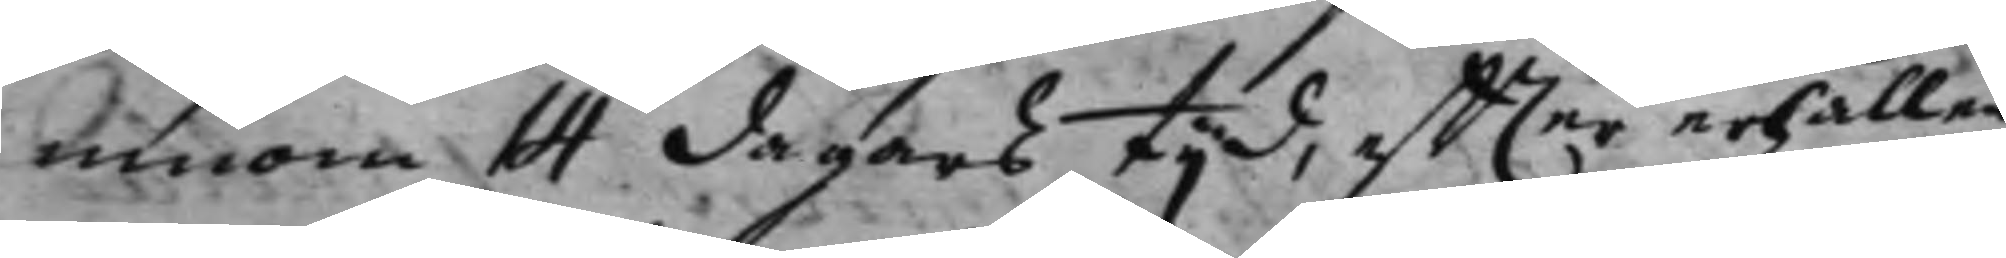innom 14 dagars tijd, effter erhållen
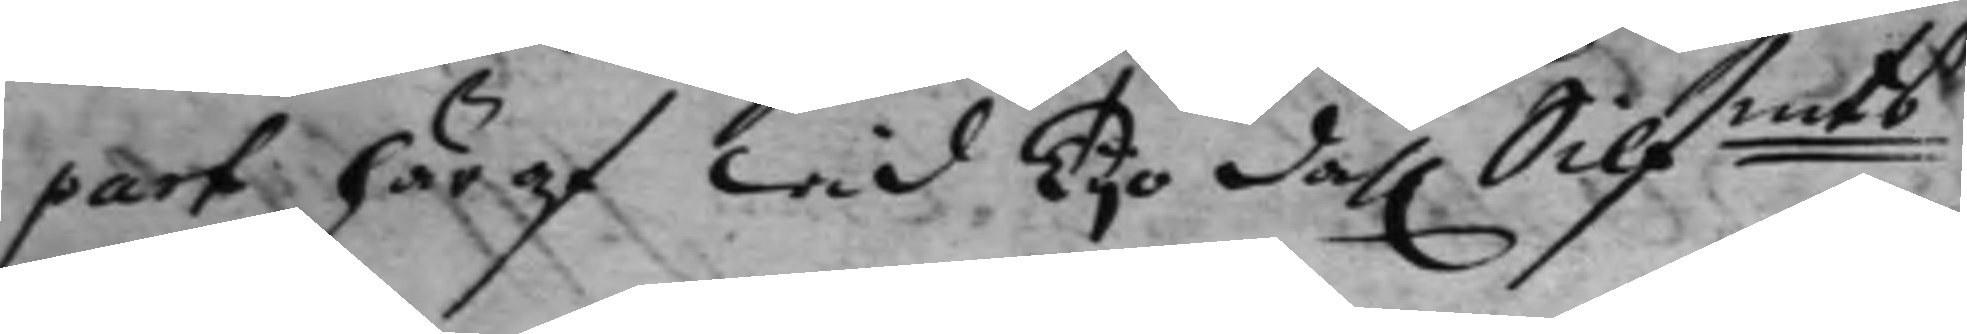part häraf wid Tijo dal. Silfmts 
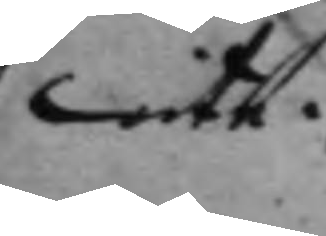wite.
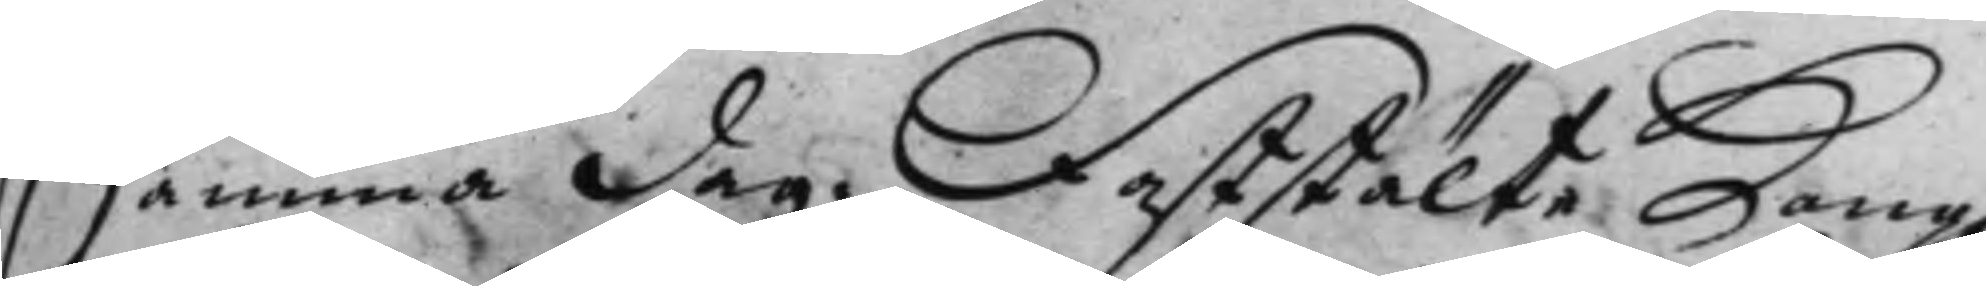Samma dag. Faststälte Kong. 
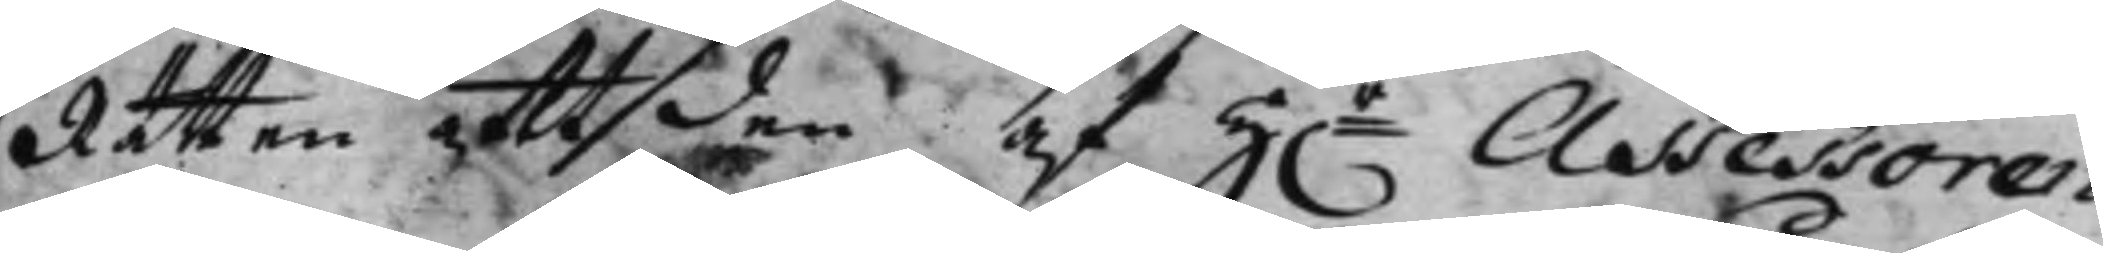Rätten att den af Hr Assessoren 
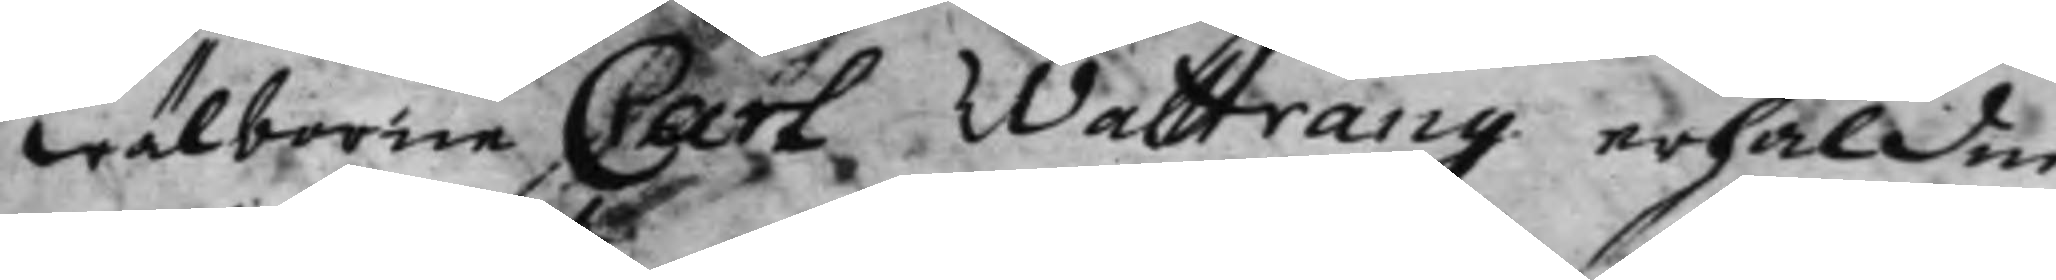wälborne Carl Wattrang erhåldne
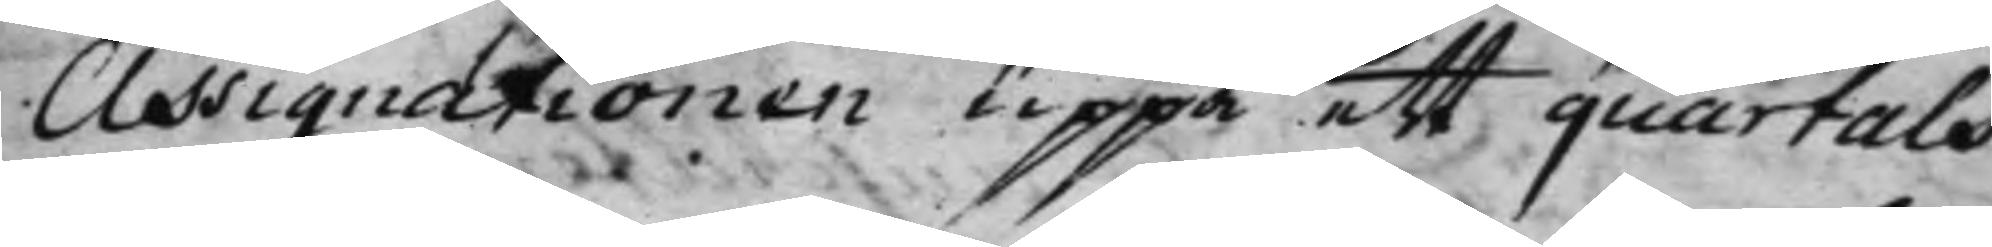Assignationen uppå ett quartals
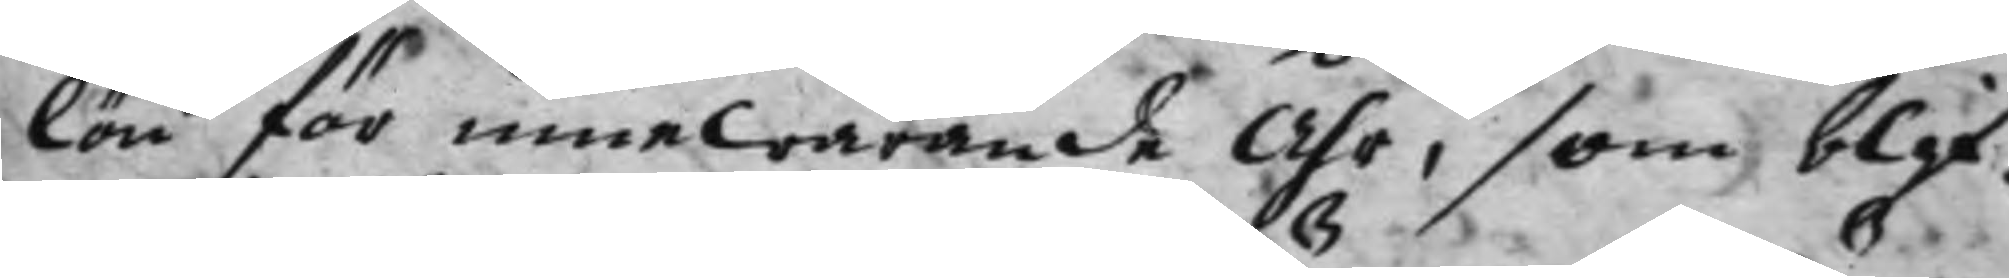lön för innewarande Åhr, som blif¬
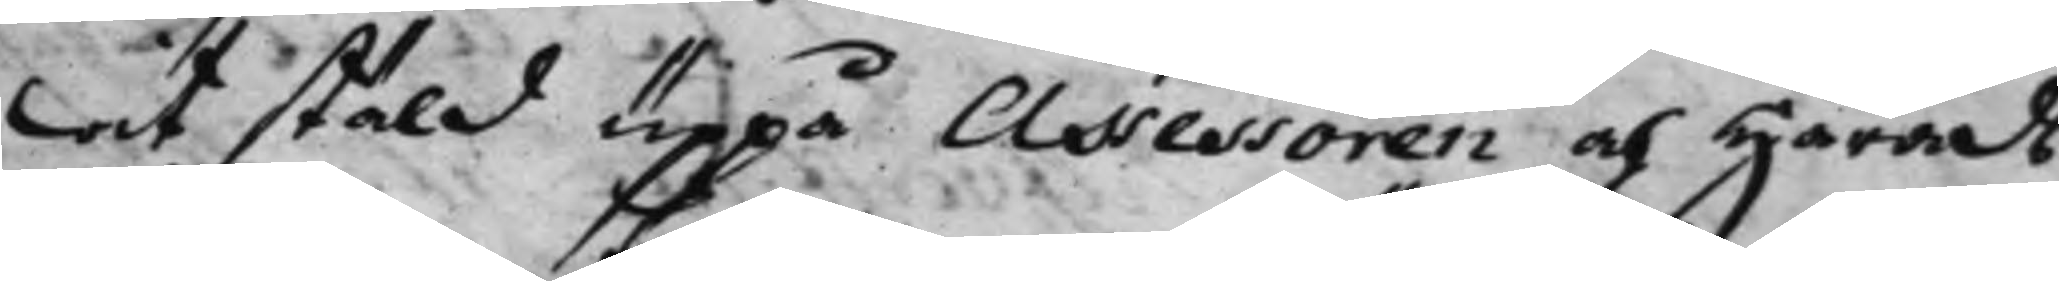wit stäld uppå Assessoren och Härads¬
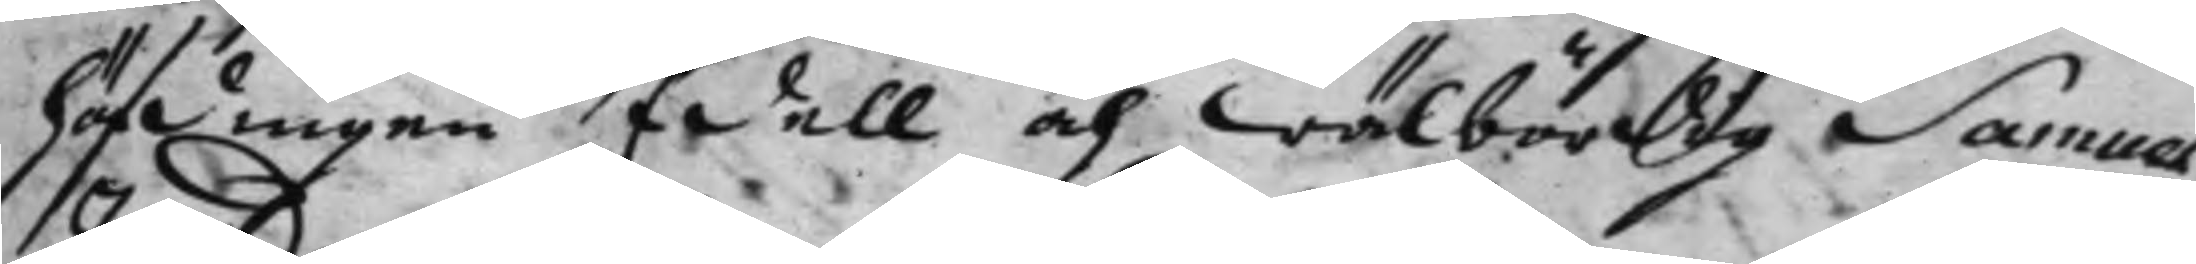höfdingen Edell och wälbördig Samuel
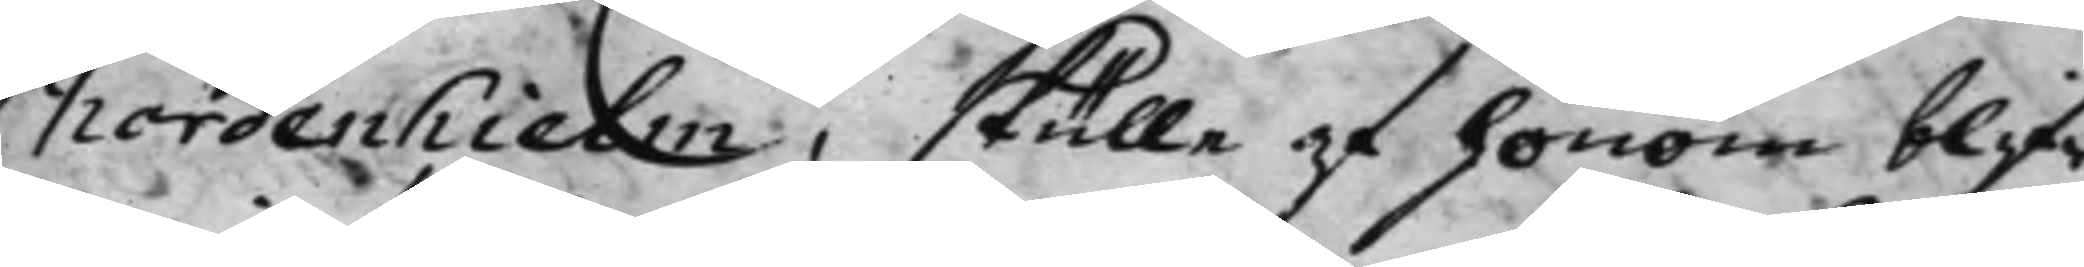Nordenhielm, skulle af honom blif¬
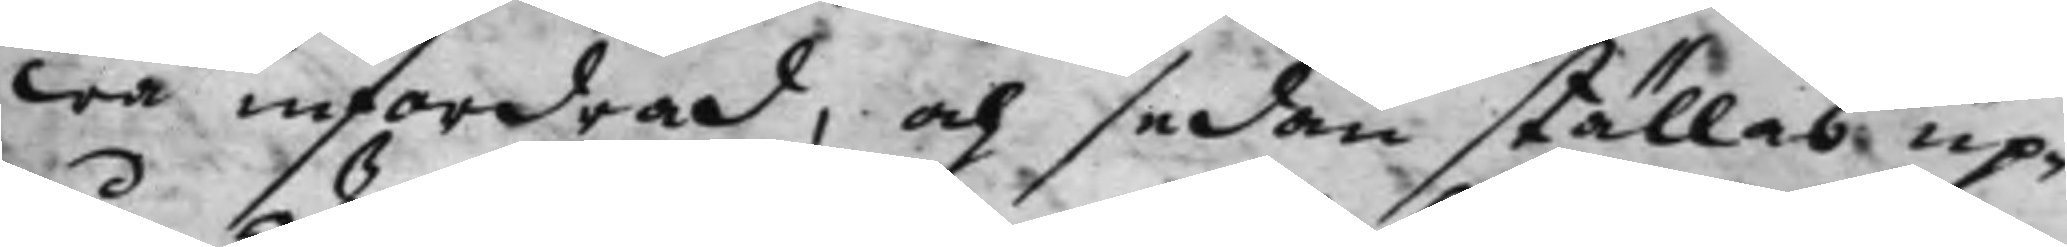wa infordrad, och sedan ställas up¬
